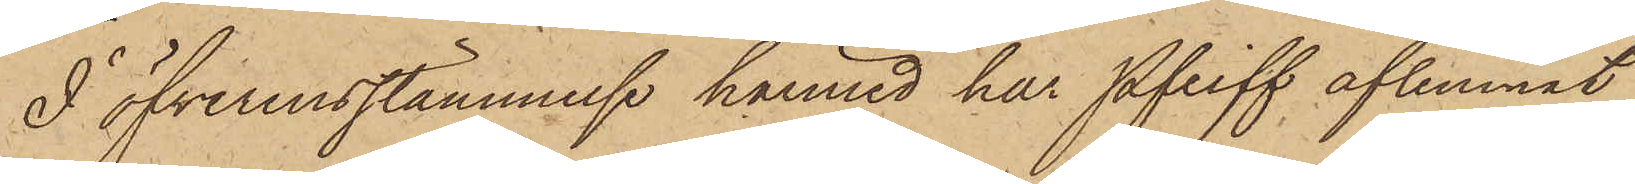I öfverensstämmelse härmed har Pfeiff aflemnat
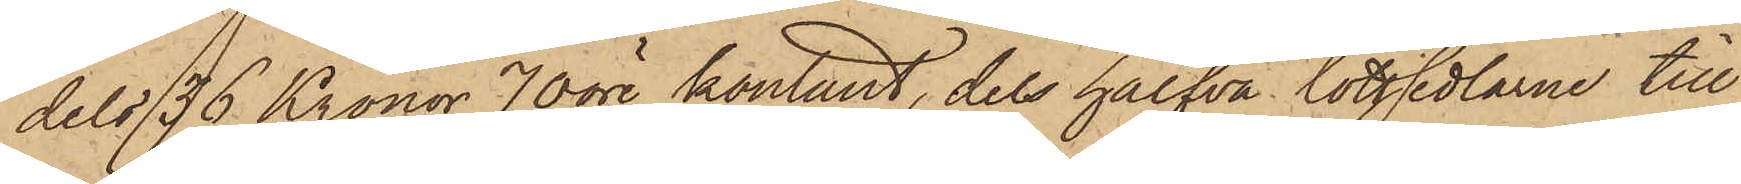dels 36 Kronor 70 öre kontant, dels halfva lottsedlarne till
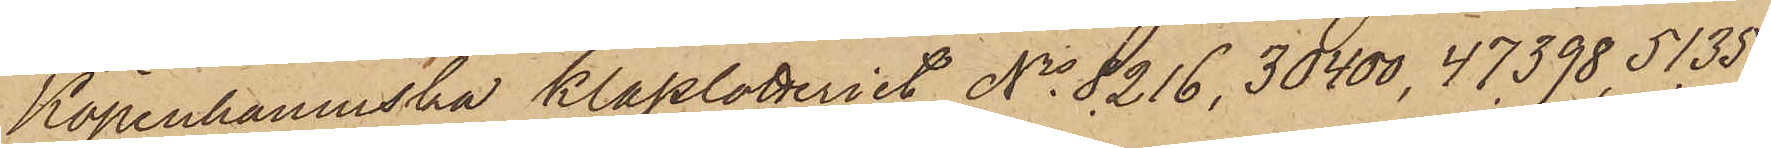Köpenhamnska klasslotteriet No 8.216, 30400, 47.398, 51.351
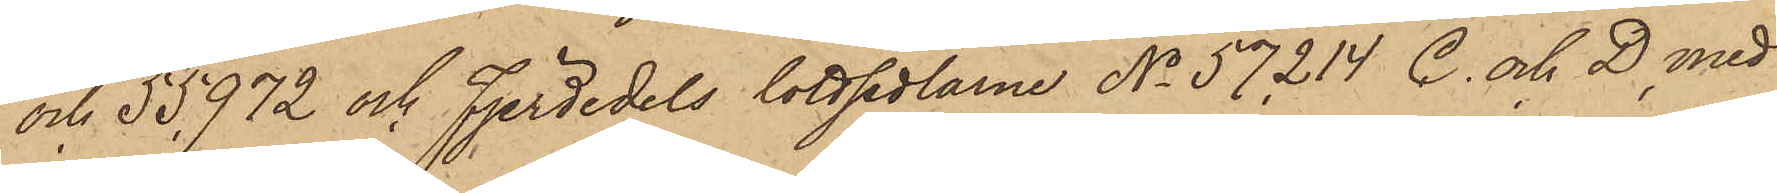och 55.972 och Fjerdedels lottsedlarne No 57.214 C. och D, med
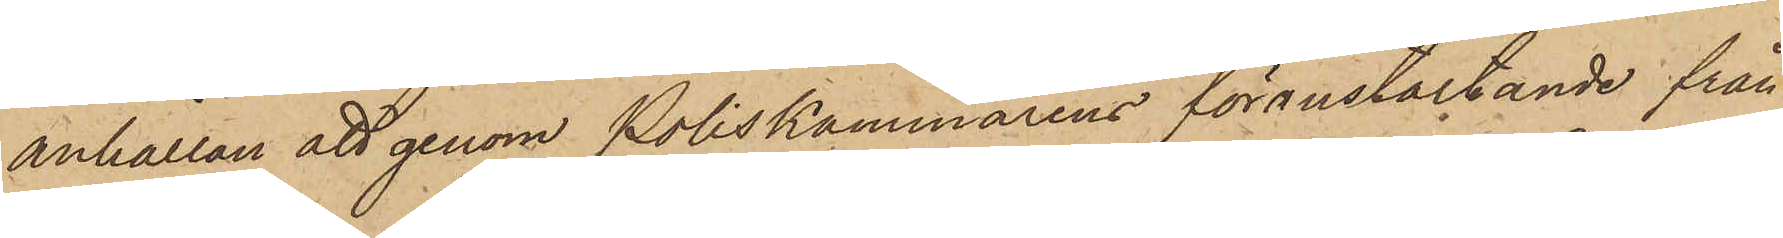anhållan att genom Poliskammarens föranstaltande från
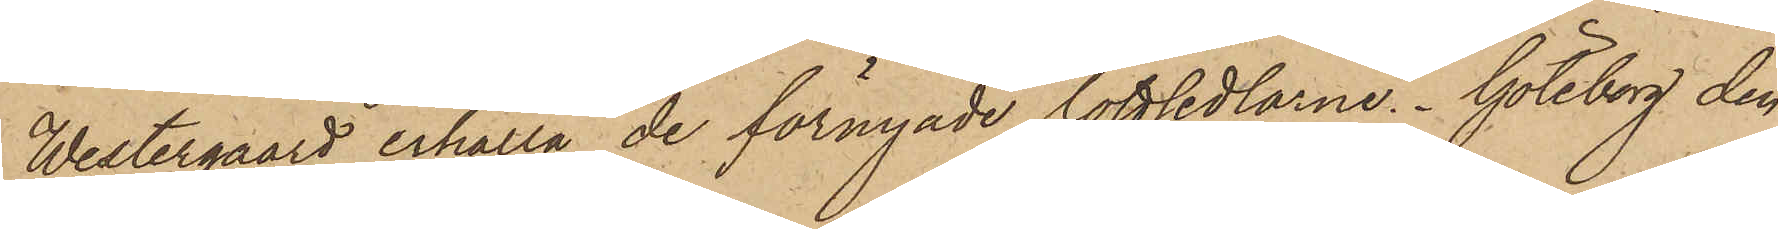Westergaard erhålla de förnyade lottsedlarne. Göteborg den
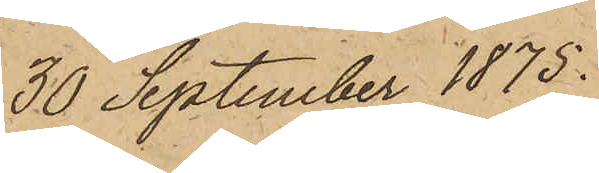30 September 1875.
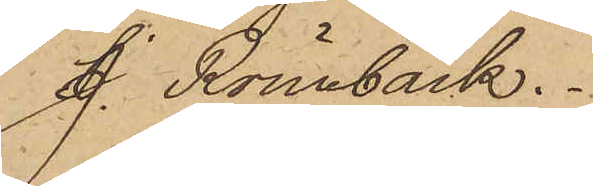J. Rönnbäck.
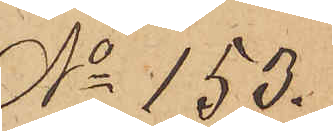No 153.
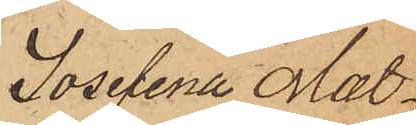Josefina Mat¬
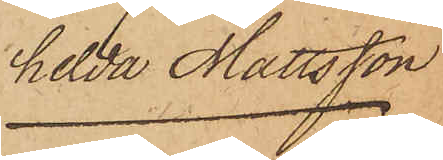hilda Mattsson
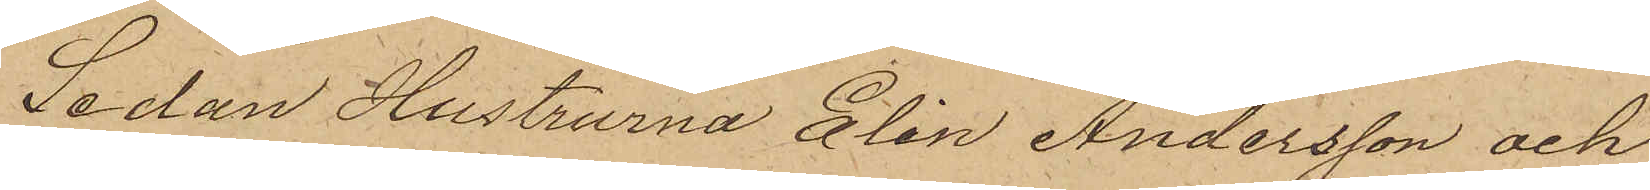Sedan Hustrurna Elin Andersson, och
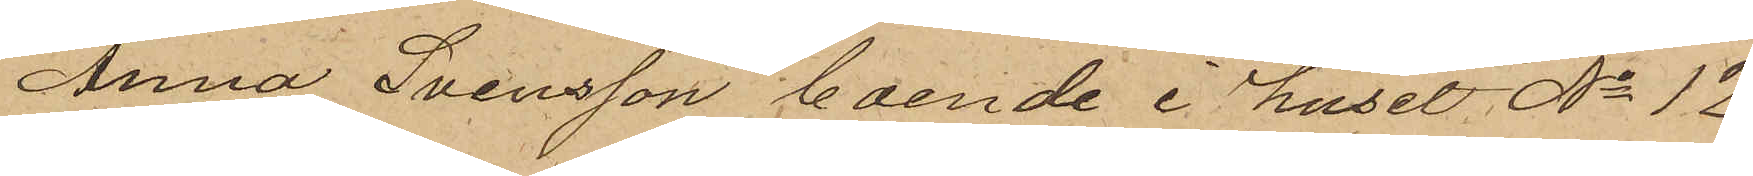Anna Svensson boende i huset No 12
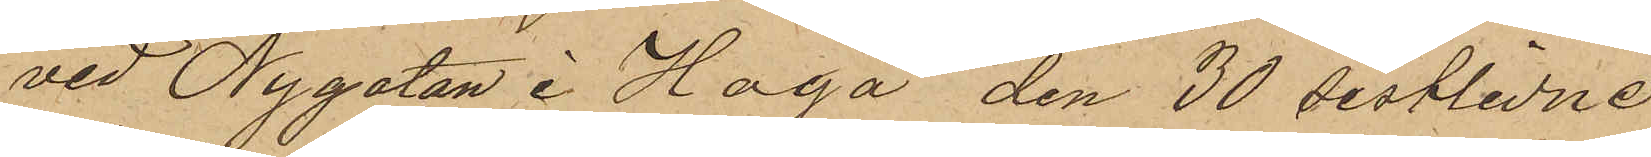vid Nygatan i Haga den 30 sistlidne
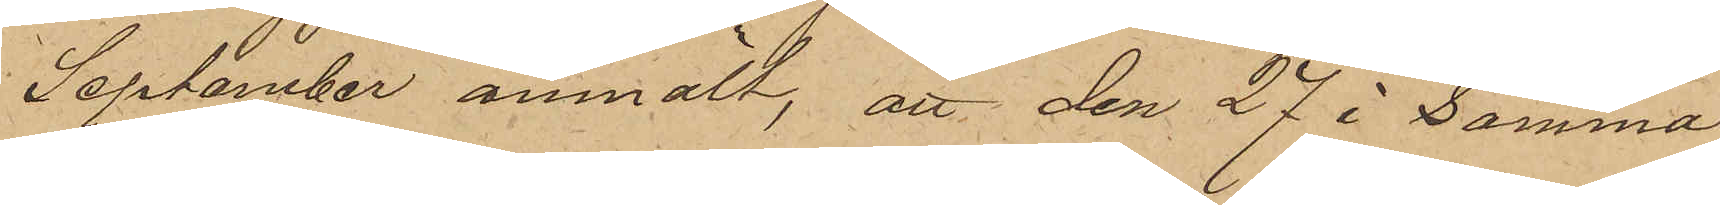September anmält, att den 27 i Samma
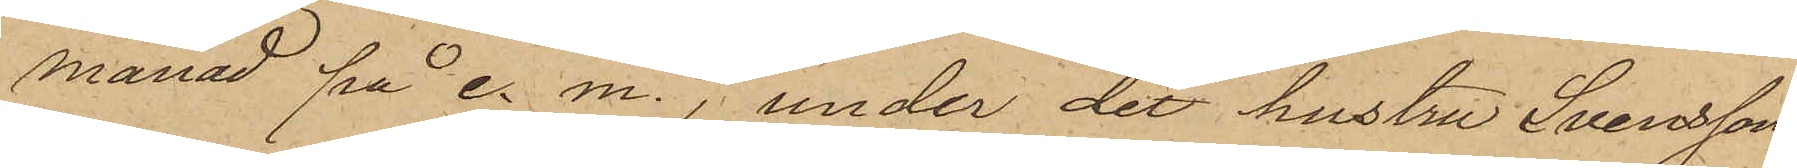månad på e. m., under det hustru Svensson
